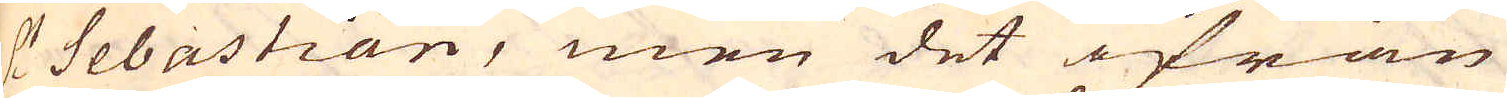S:t Sebastian, men det ifrån
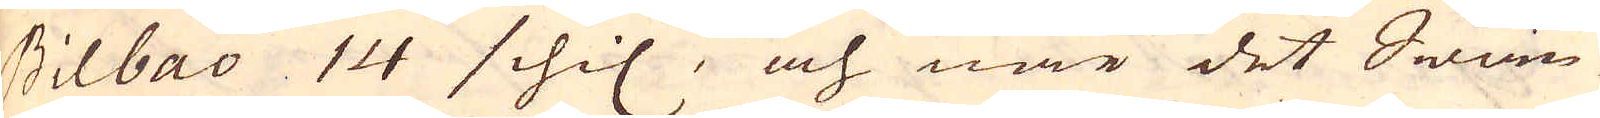Bilbao 14 schil, och när det Swän-
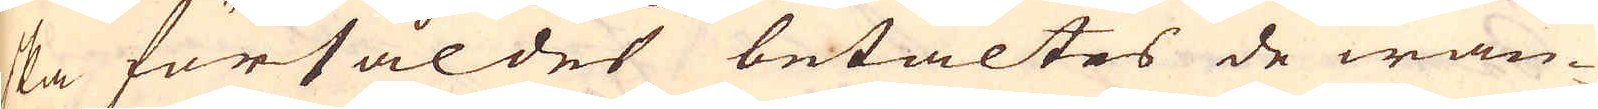ska försåldes betaltes de wan-
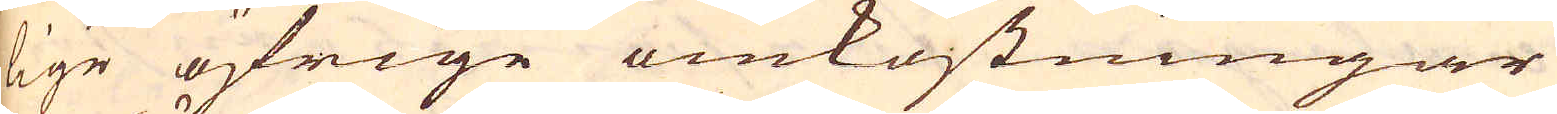lige öfrige omkostningar
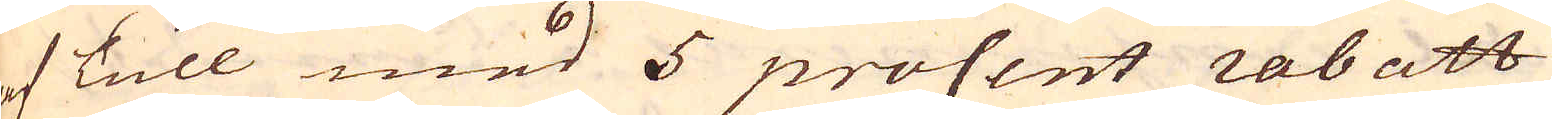af Tull med 5 procent rabatt
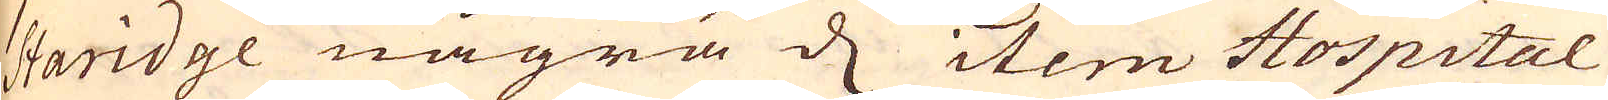Staridge några d item Hospital
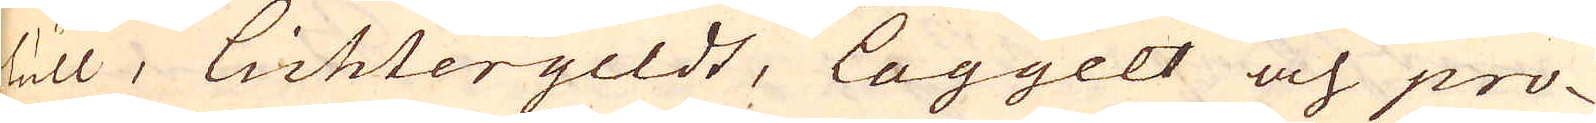Tull, Lichtergeldt, Laggelt och pro-
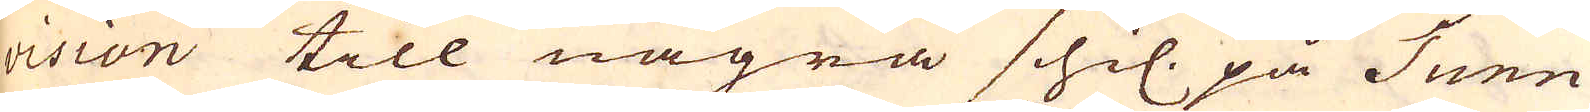vision till några schil. på Tunn
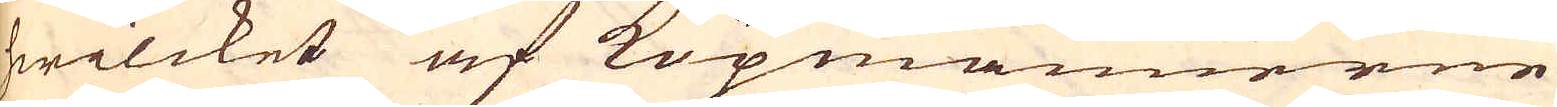hwilcket af Köpmännerne
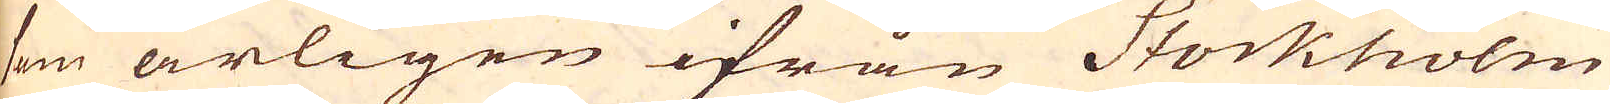som årligen ifrån Stockholm
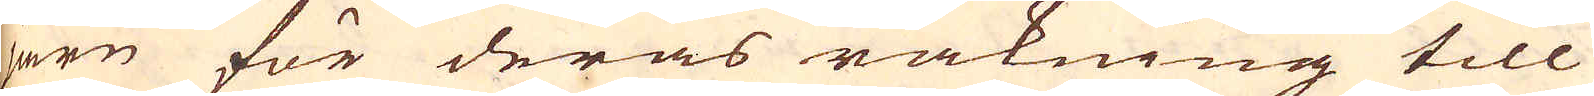järn för deras räkning till
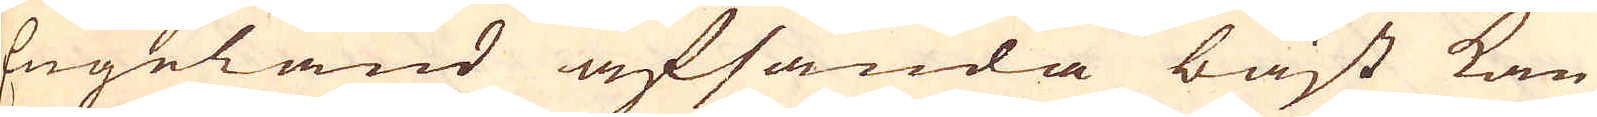Engeland afsända bäst kan
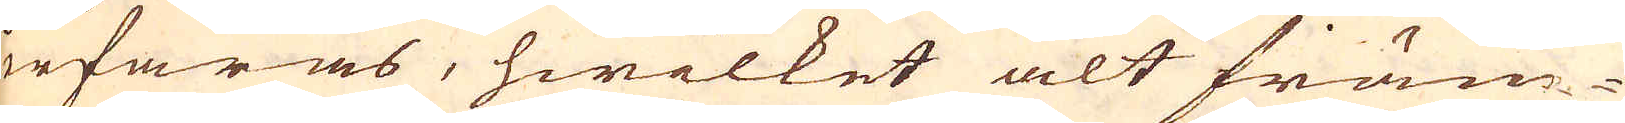erfaras, hwilket alt främ-
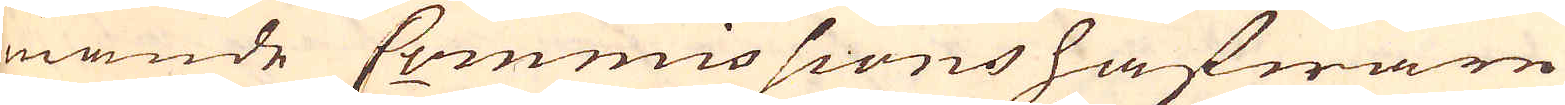mande Commissions hafware
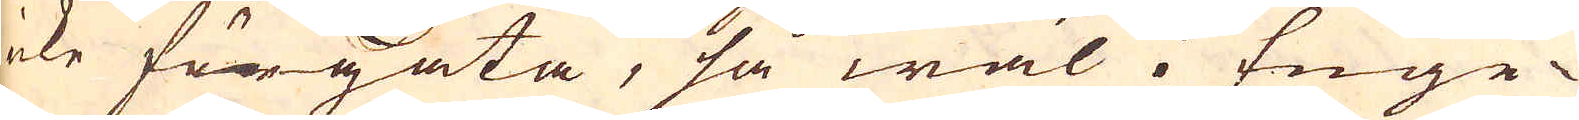icke förgäta, så wäl i Enge-
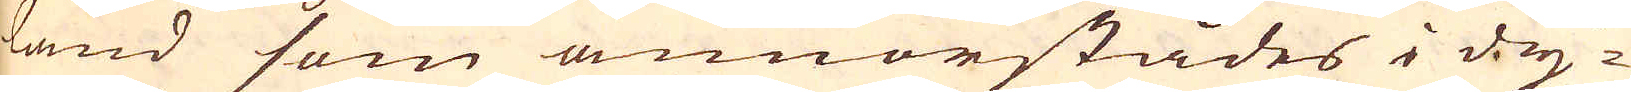land som annorstädes i dy-
